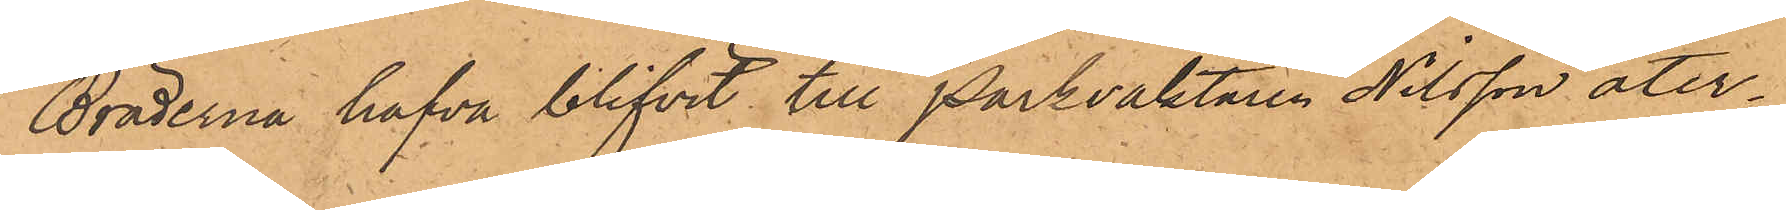Bräderna hafva blifvit till Parkvaktaren Nilsson åter¬
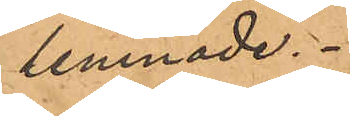lemnade.
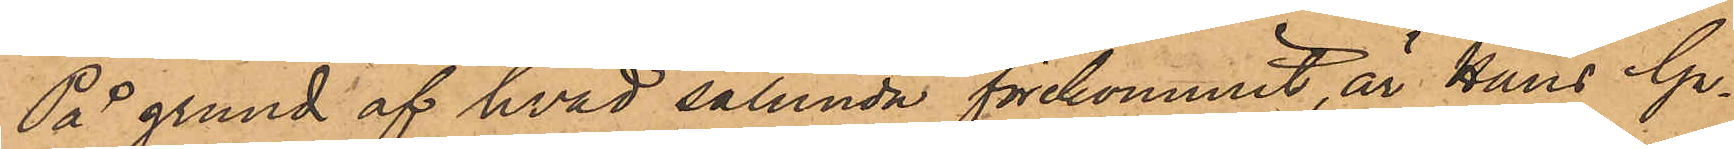På grund af hvad sålunda förekommit, är Hans Ga¬
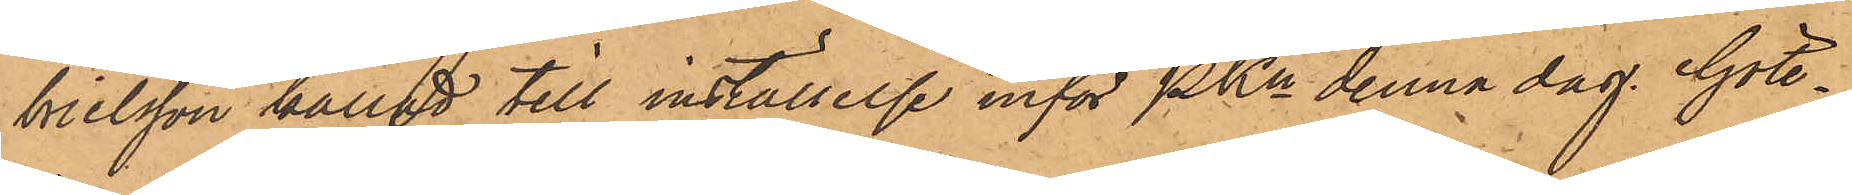brielsson kallad till inställelse inför Pkn denna dag. Göte¬
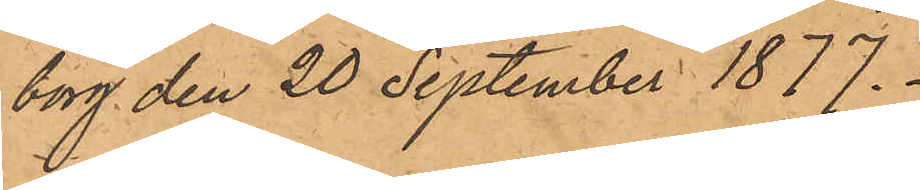borg den 20 September 1877.
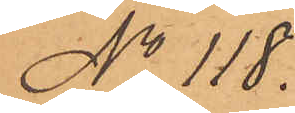No 118.
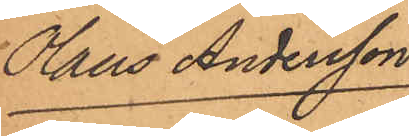Olaus Andersson
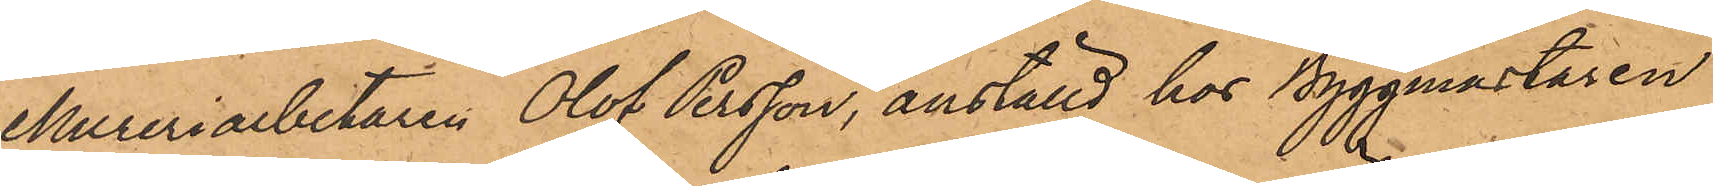Mureriarbetaren Olof Persson, anställd hos Byggmästaren
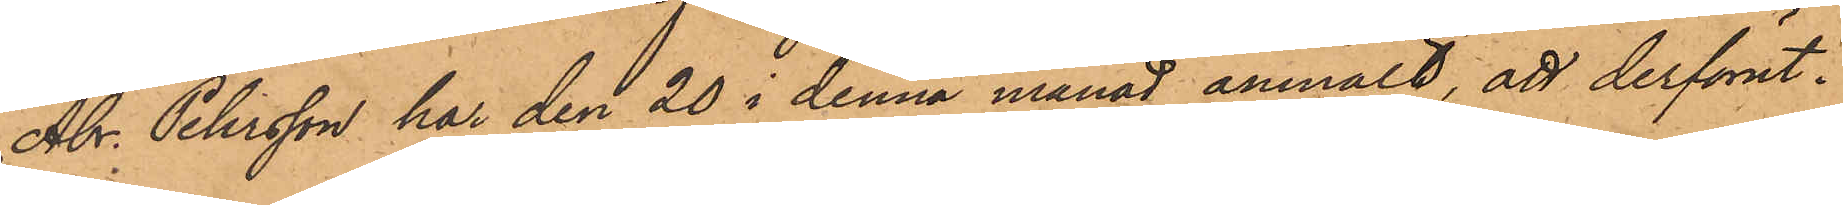Abr. Petersson har den 20 i denna månad anmält, att derförut¬
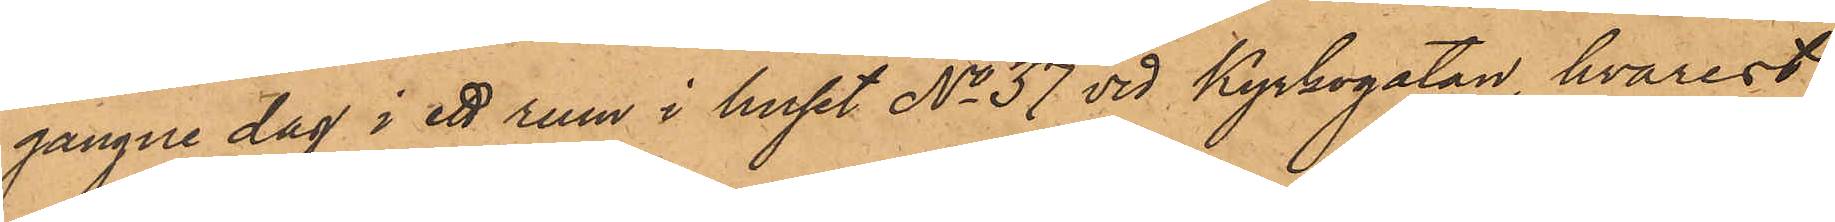gångne dag i ett rum i huset No 37 vid Kyrkogatan, hvarest
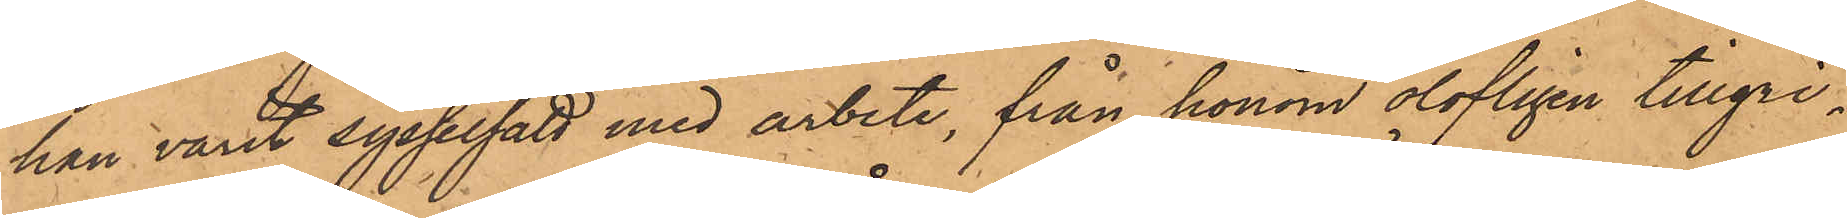han varit sysselsatt med arbete, från honom olofligen tillgri¬
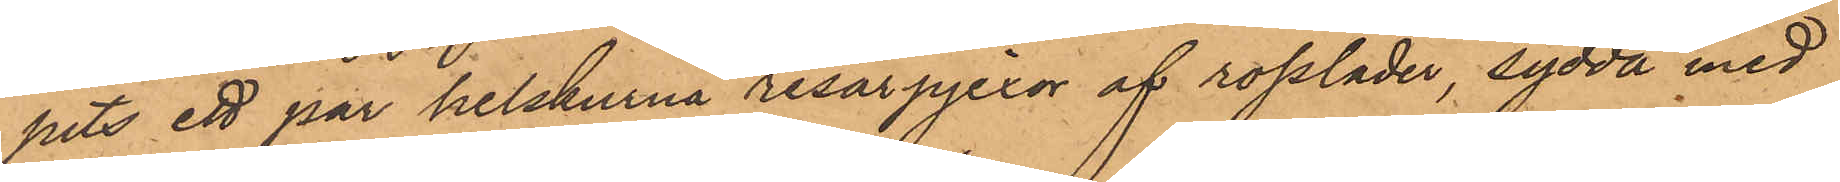pits ett par helskurna resårpjexor af rossläder, sydda med
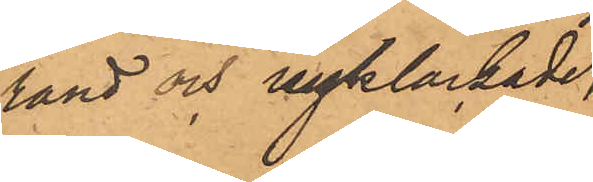rand och nyklackade,
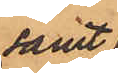samt
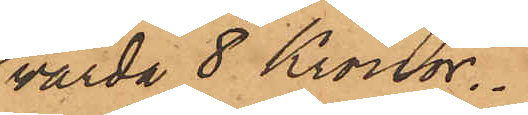värda 8 Kronor.
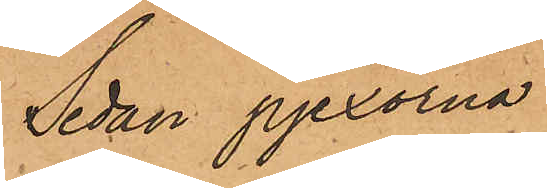Sedan pjexorna
